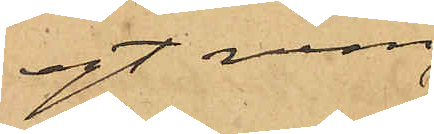egt rum
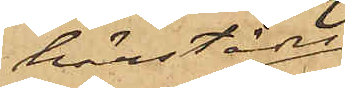härstädes
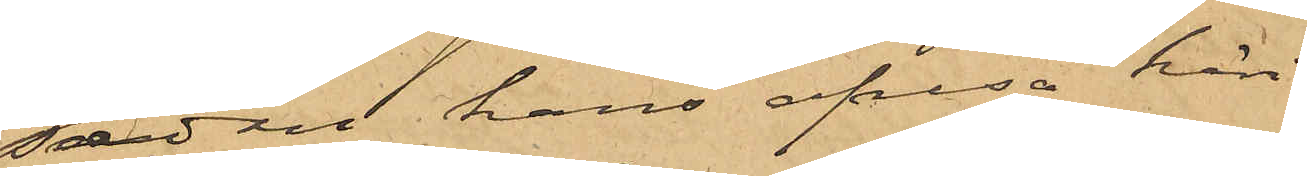sedan hans afresa häri¬
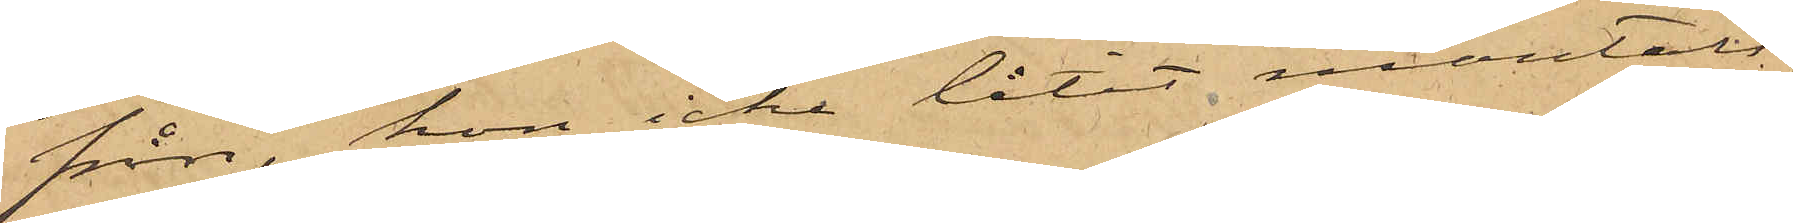från, hon icke låtit mantals¬
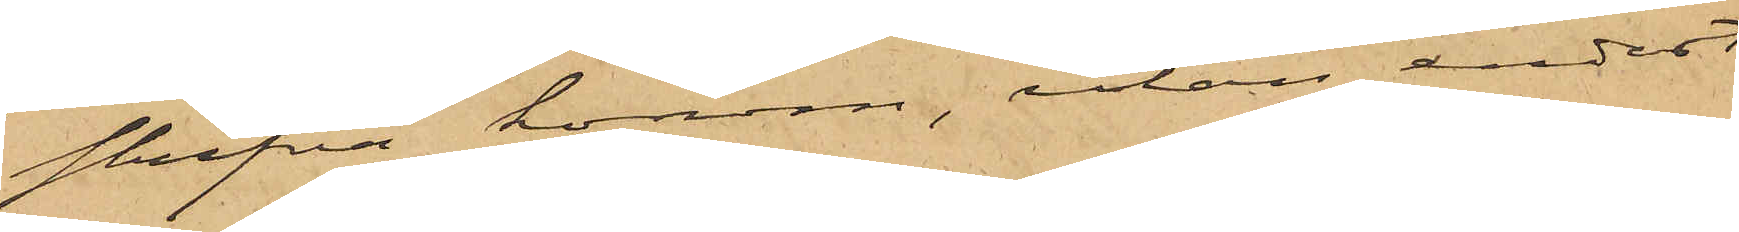skrifva honom, utan endast
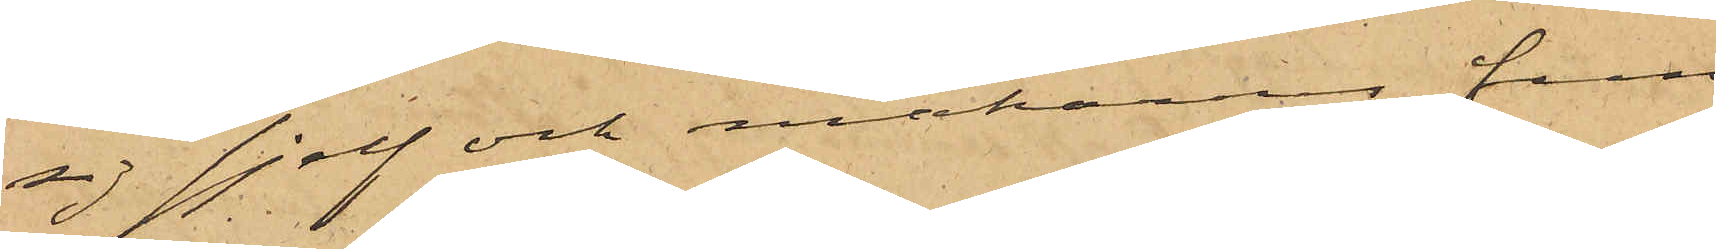sig sjelf och makarnes fem
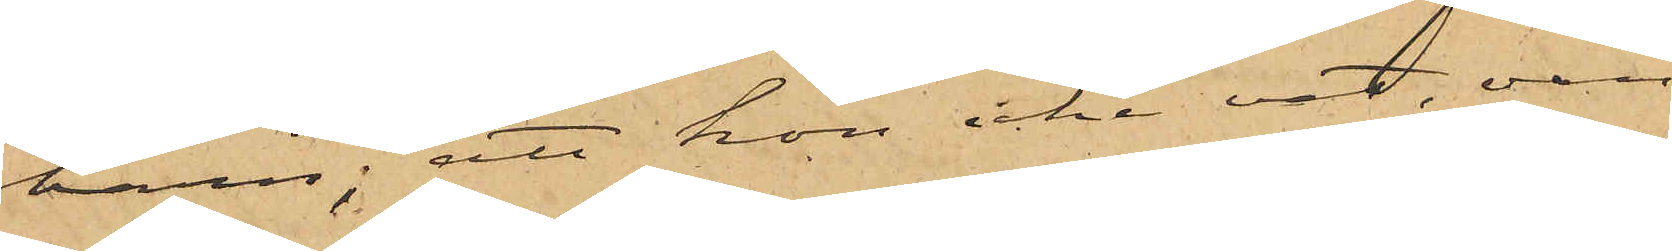barn; att hon icke vet, om
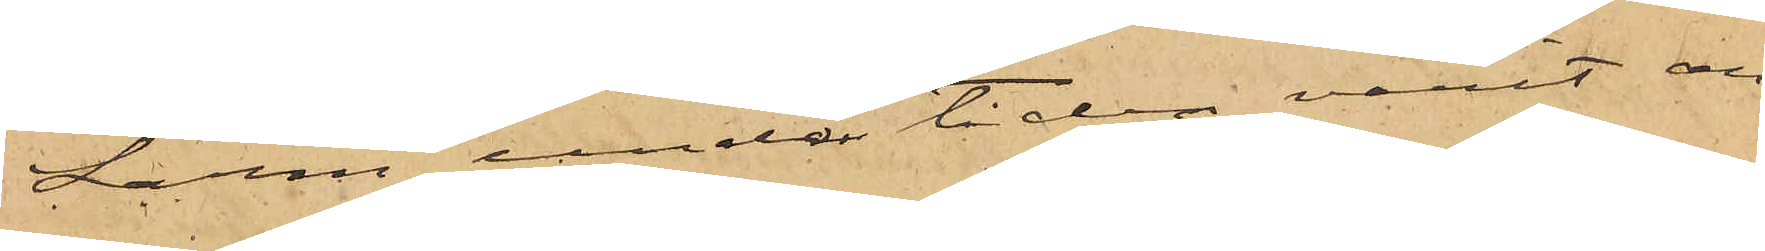Larm under tiden varit an¬
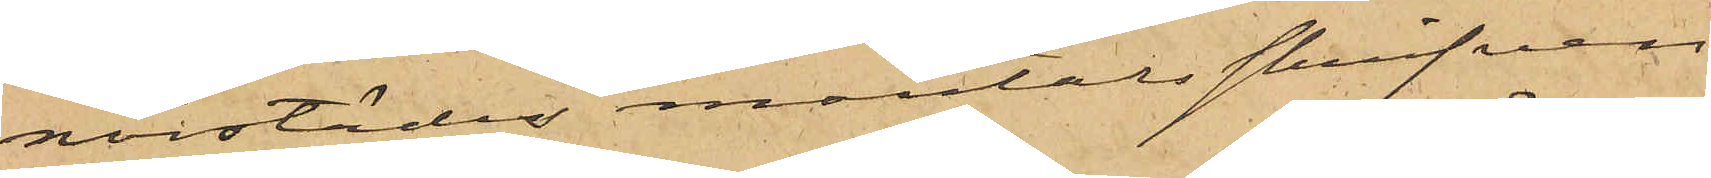norstädes mantalsskrifven,
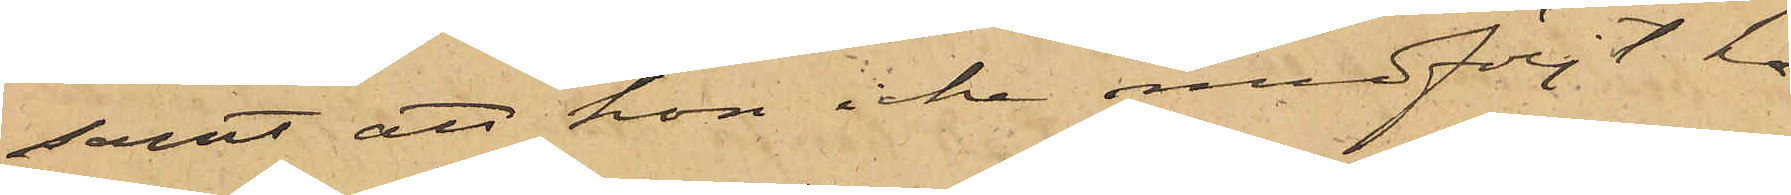samt att hon icke medföljt ho¬
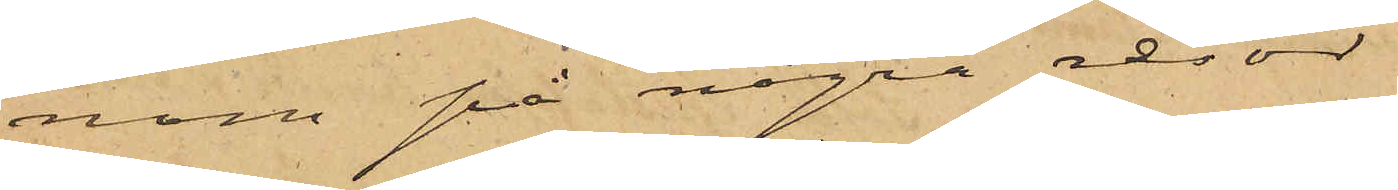nom på några resor.
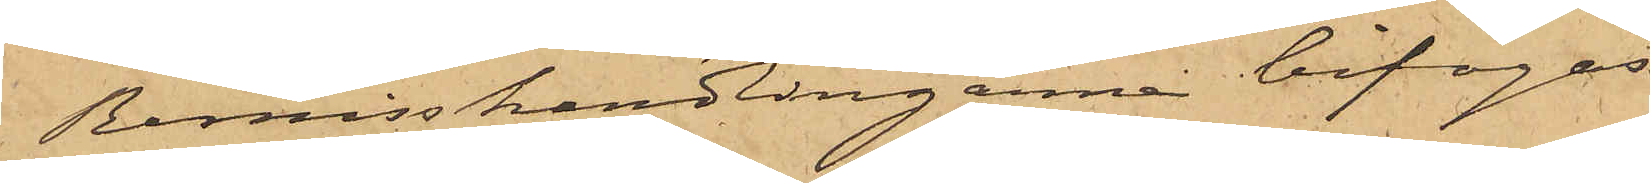Remisshandlingarne bifogas.
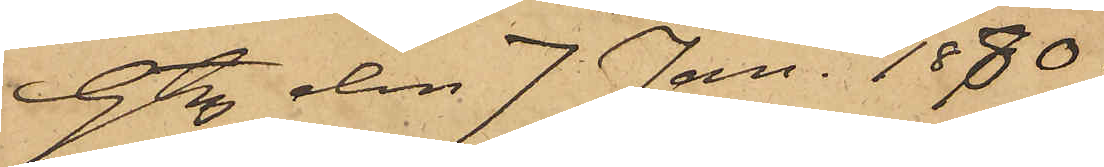Gtg den 7 Jan. 1880.
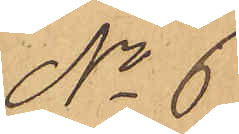No 6.
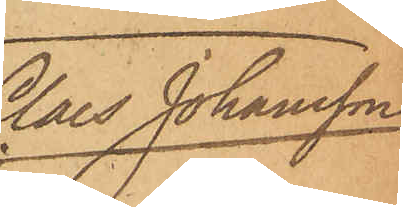Claes Johansson
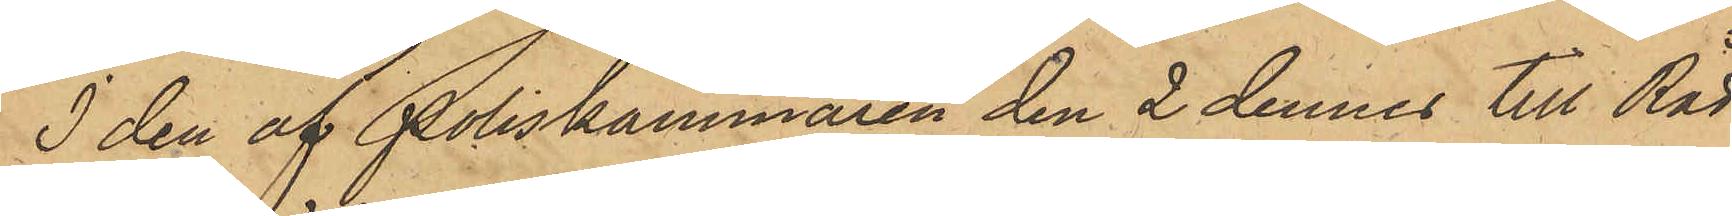I den af Poliskammaren den 2 dennes till Råd¬
